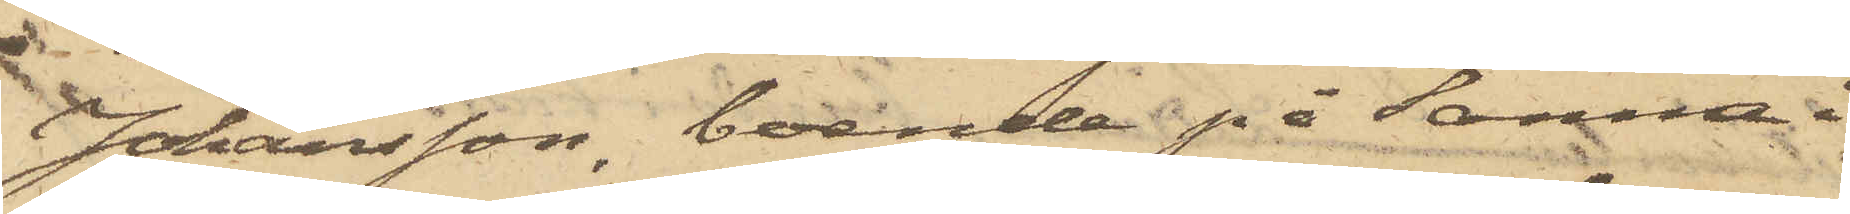Johansson, boende på Sanna i
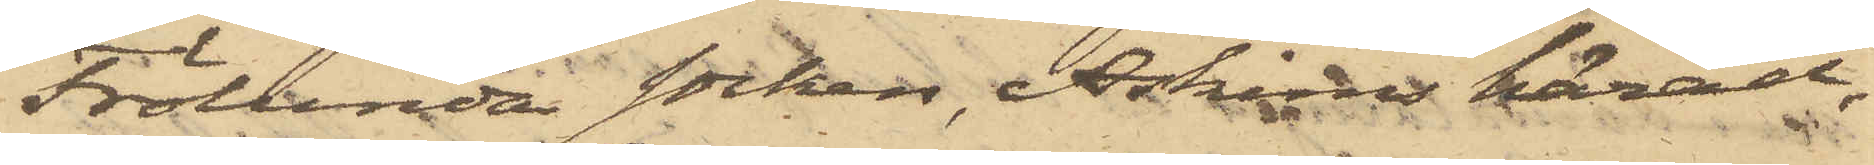Frölunda socken, Askims härad,
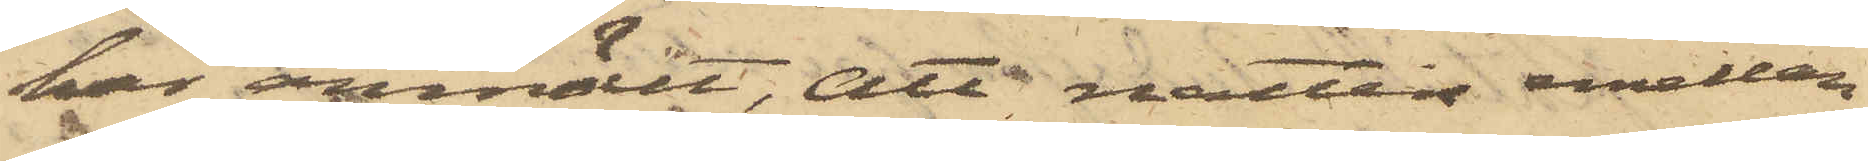har anmält, att natten emellan
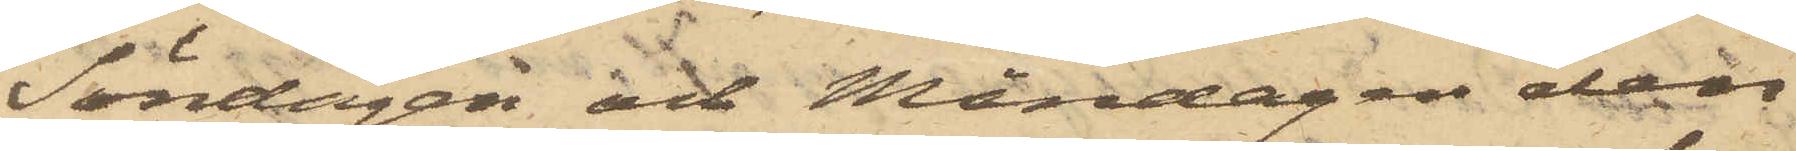Söndagen och Måndagen den
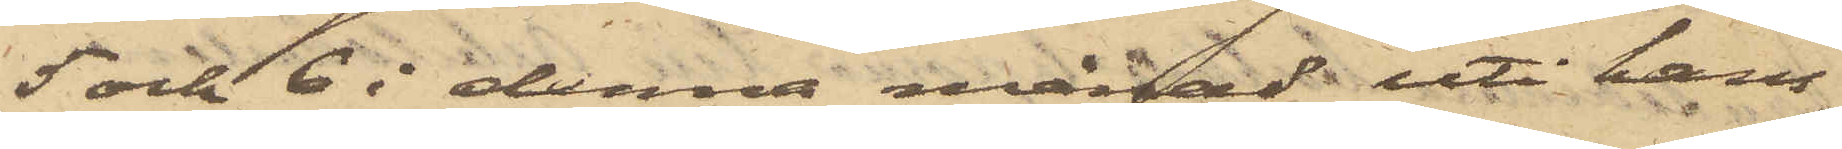5 och 6 i denna månad uti hans
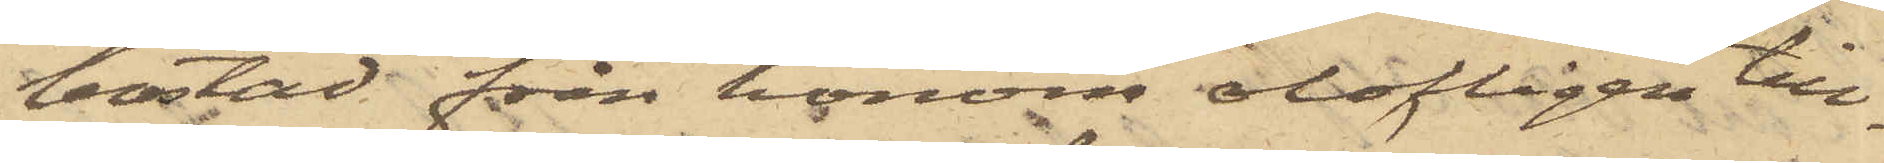bostad från honom olofligen till¬
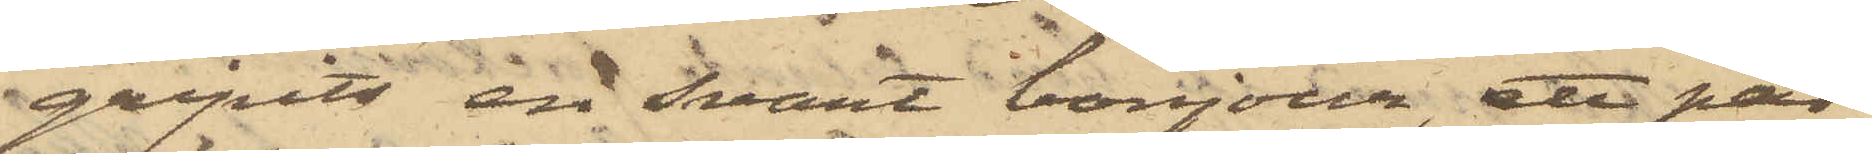gripits en svart bonjour, ett par
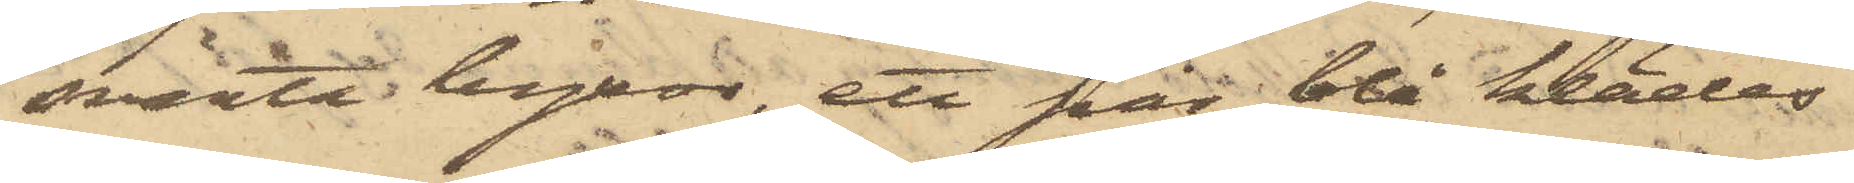svarta byxor, ett par blå klädes¬
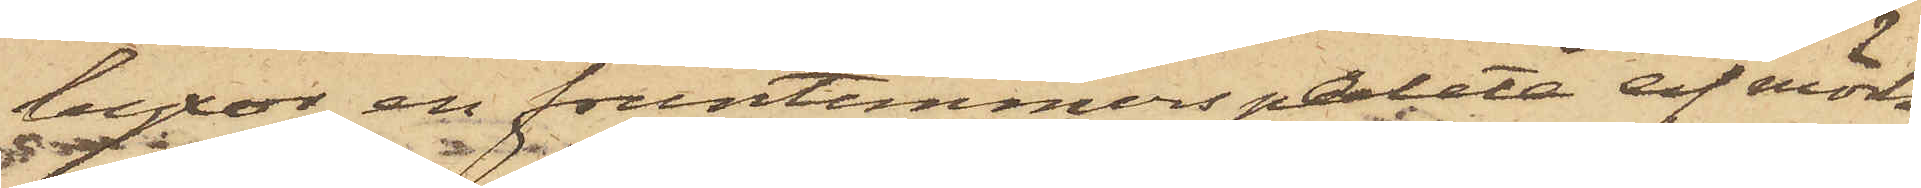byxor, en fruntimmerspaletå af mörk
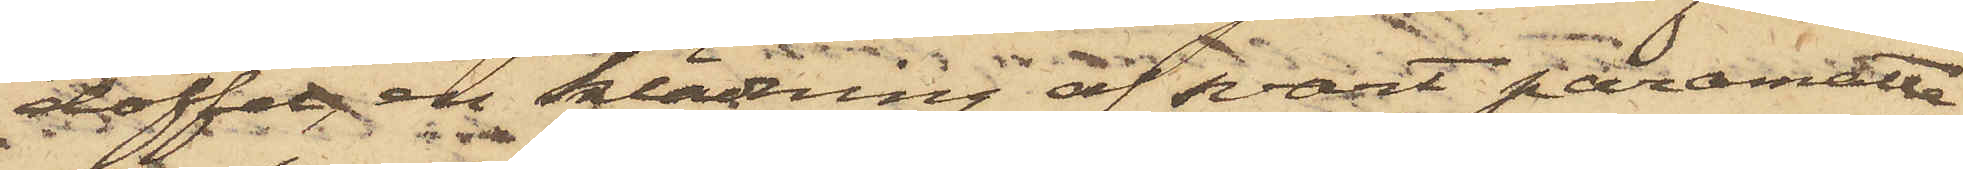doffel, en klädning af svart paramatta,
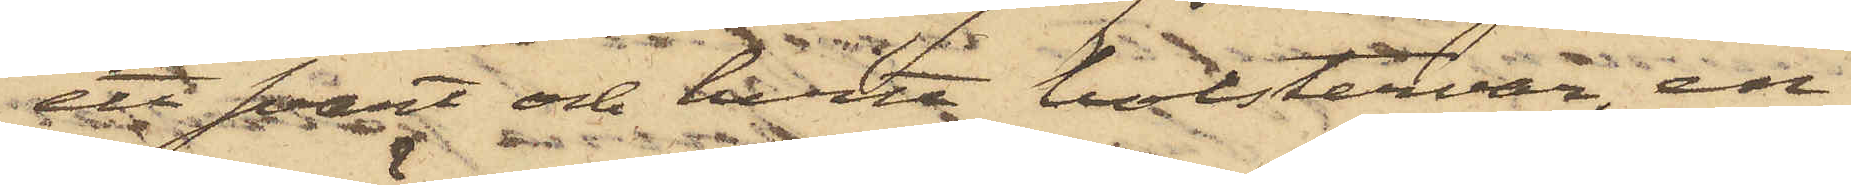ett svart och hvitt bolstervar, en
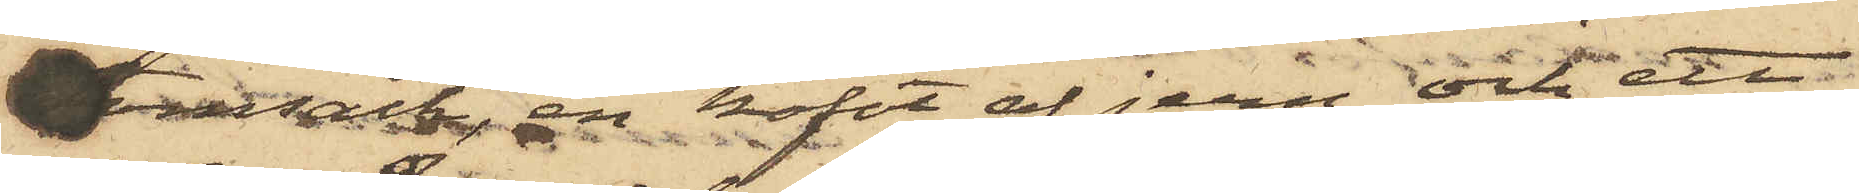tomsäck, kofot af jern och ett
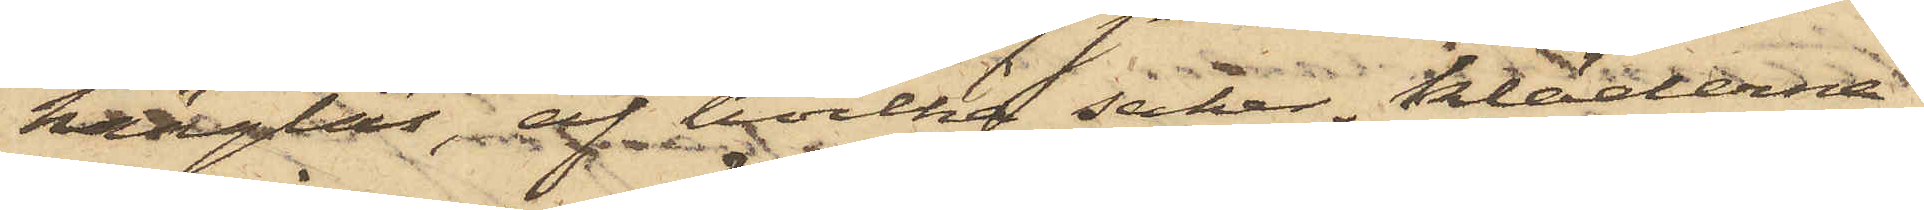hänglås, af hvilka saker kläderna
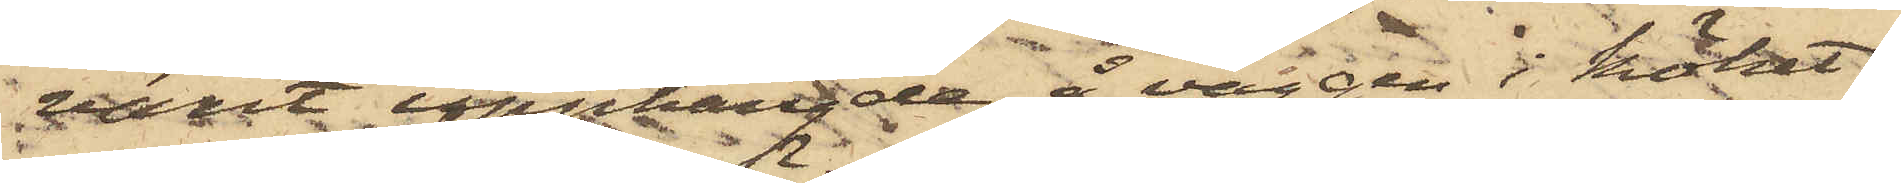varit upphängde å väggen i köket
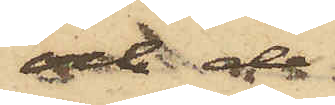och de
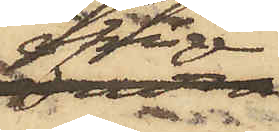öfrige
